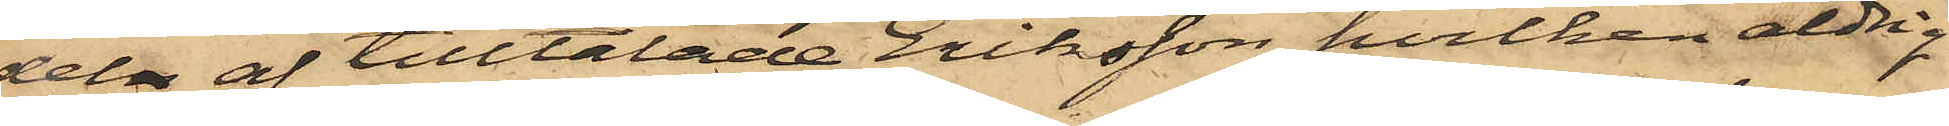deln af tilltalade Eriksson, hvilken aldrig
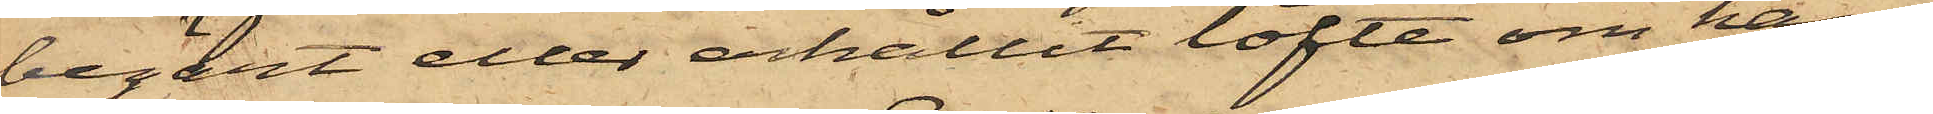begärt eller erhållit löfte om hans
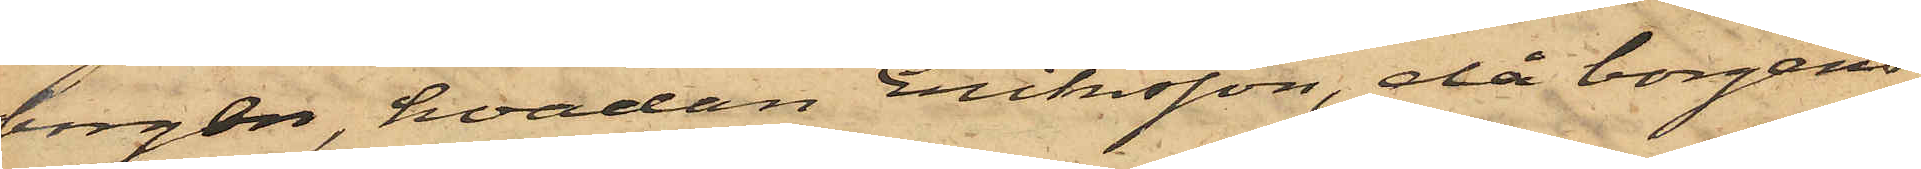borgen, hvadan Eriksson, då borgens¬
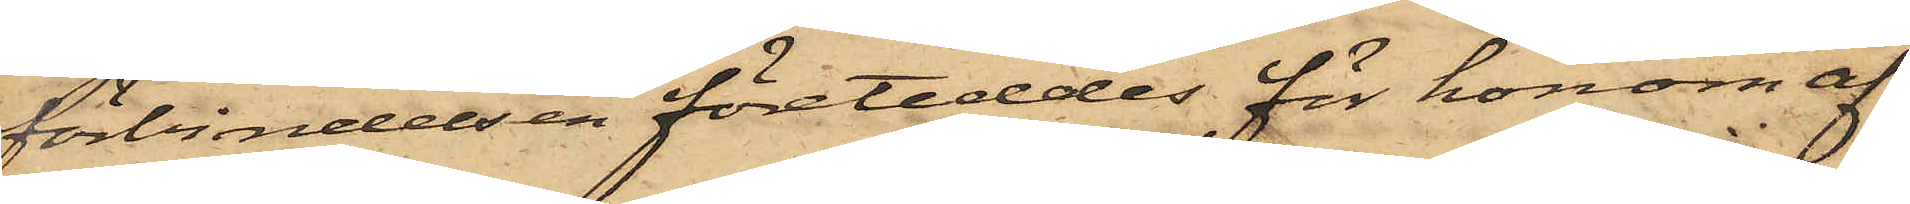förbindelsen företeddes för honom af
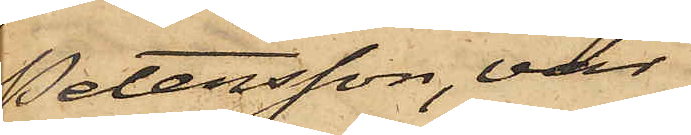Petersson, var
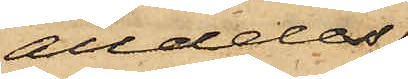alldeles
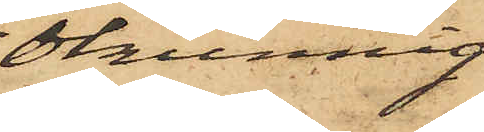okunnig
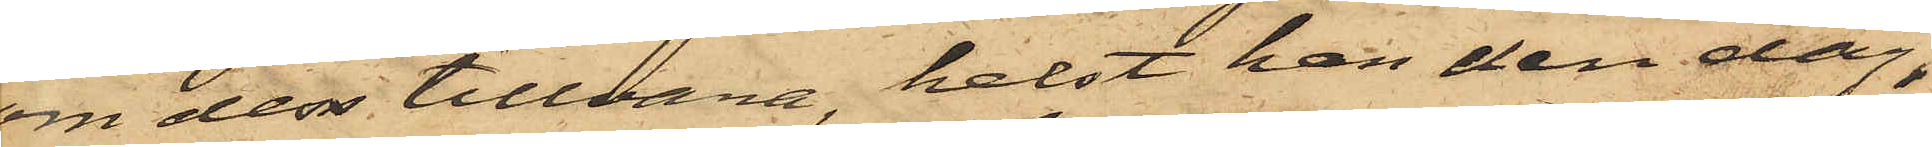om dess tillvara, helst han den dag,
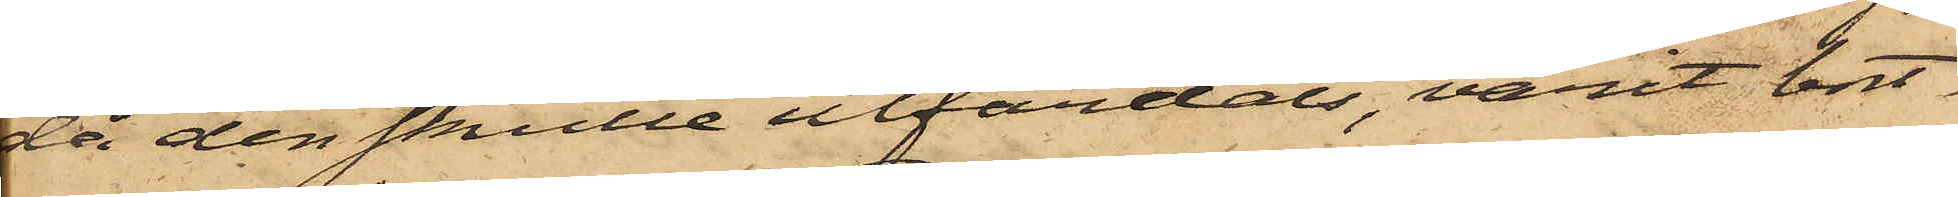då den skulle utfärdats, varit bort¬
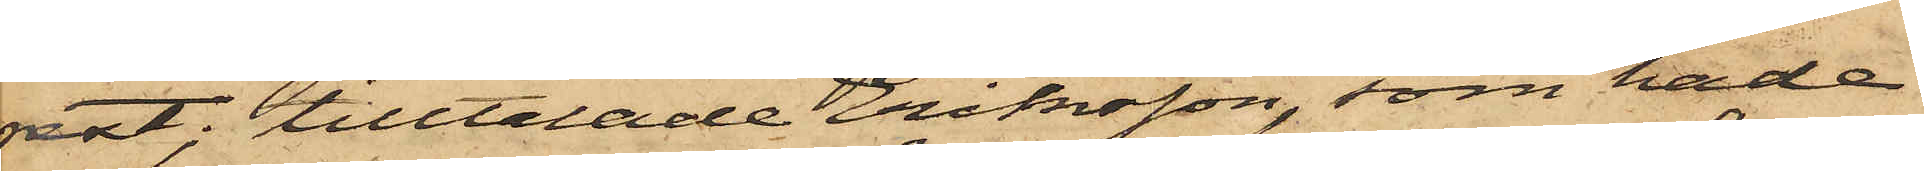rest; tilltalade Eriksson, som hade
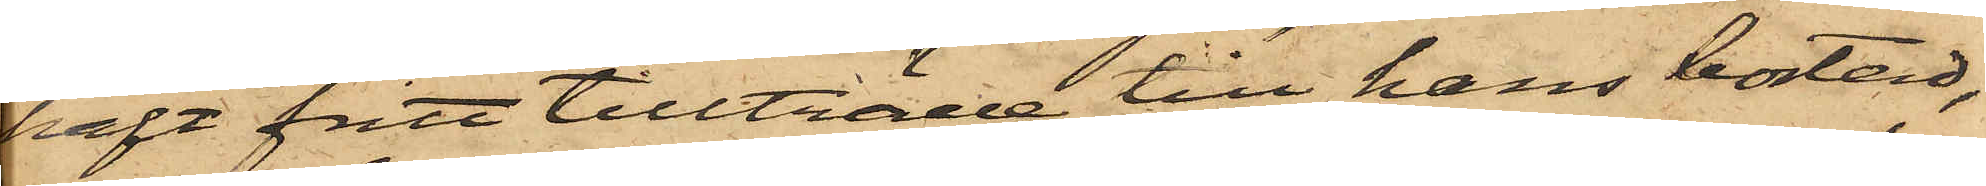haft fritt tillträde till hans bostad,
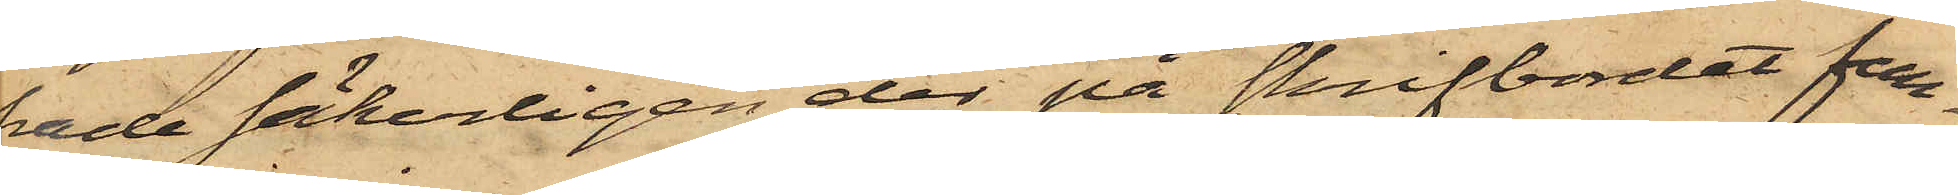hade säkerligen der på skrifbordet fun¬
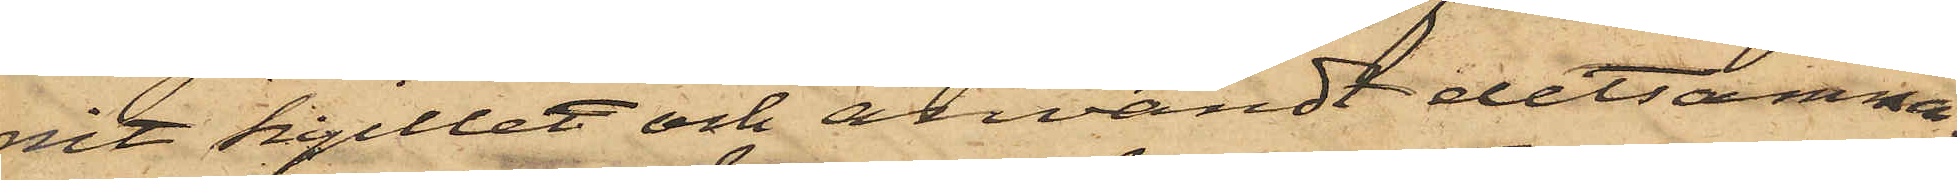nit sigillet och användt detsamma;
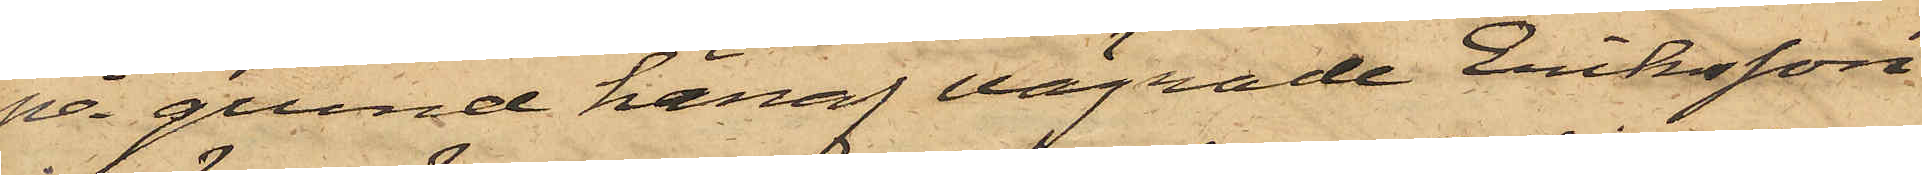på grund häraf vägrade Eriksson
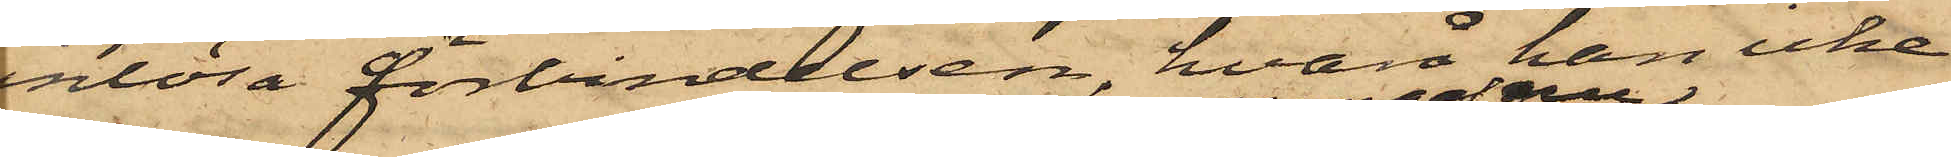inlösa förbindelsen, hvarå han icke
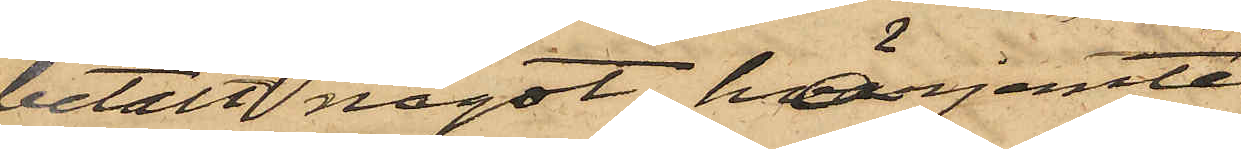betalt något; härjemte
